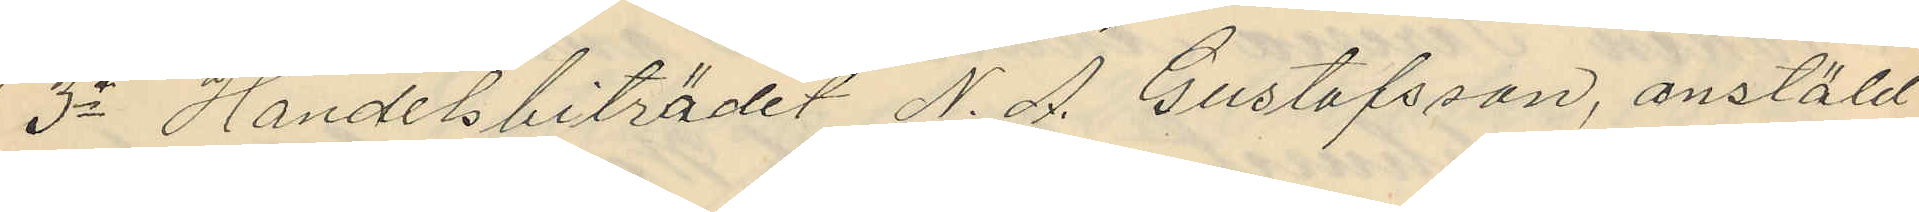3o Handelsbiträdet N. A. Gustafsson, anstäld
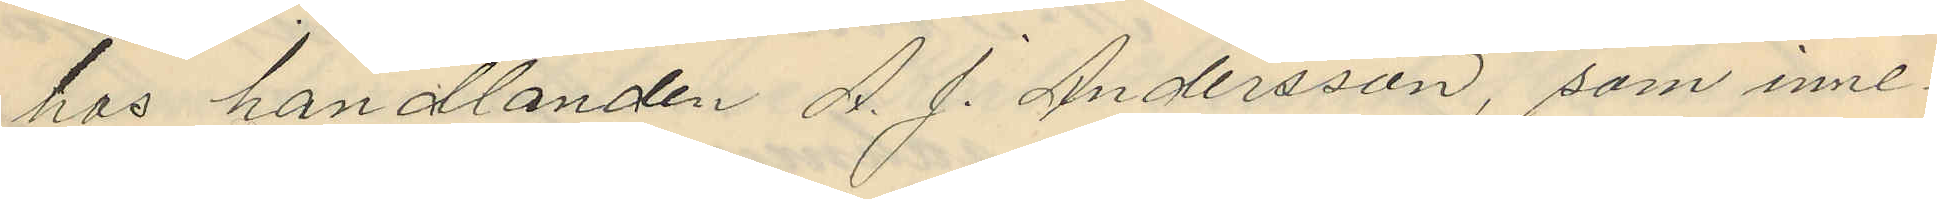hos handlanden A. J. Andersson, som inne¬
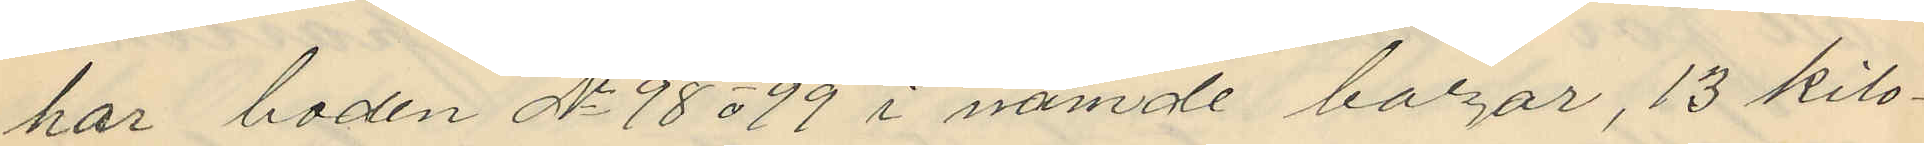har boden No 98 o 99 i nämde bazar, 13 kilo¬
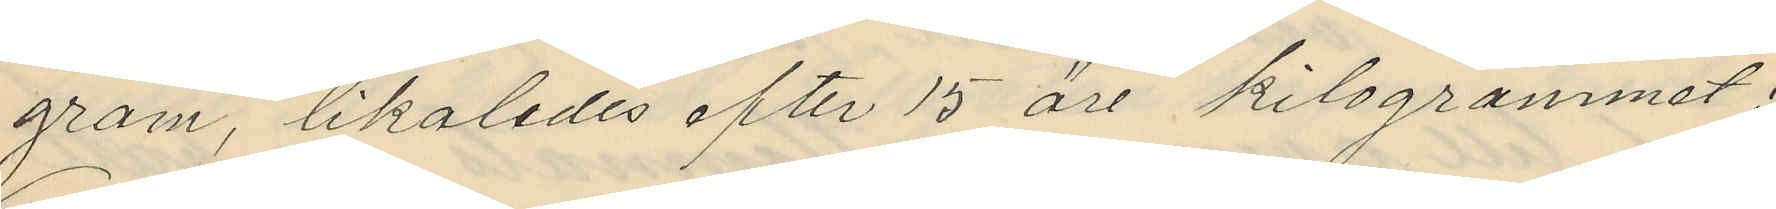gram, likaledes efter 15 öre kilogrammet;
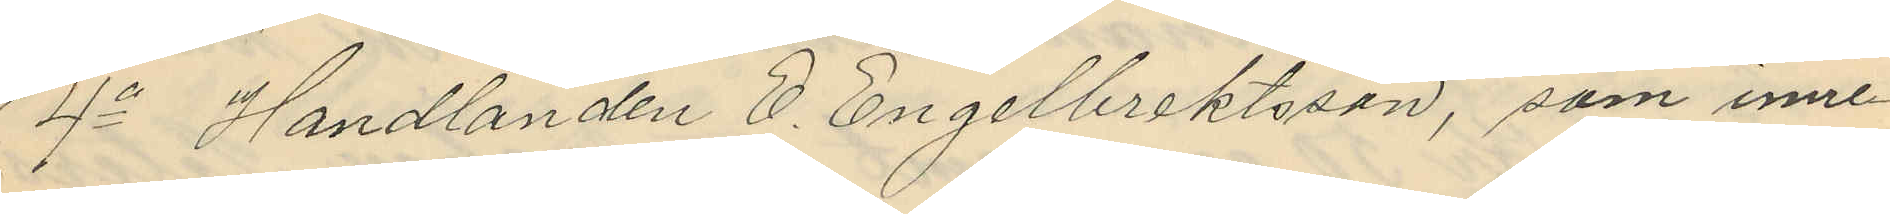4o Handlanden E. Engelbrektsson, som inne¬
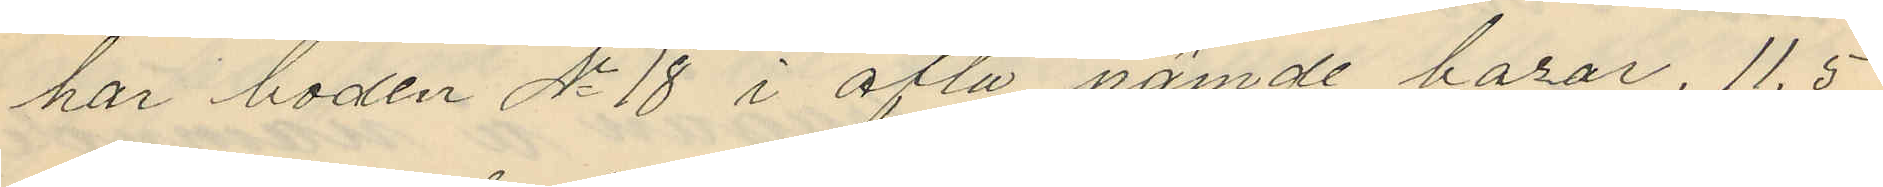har boden No 18 i ofta nämde bazar, 11,5
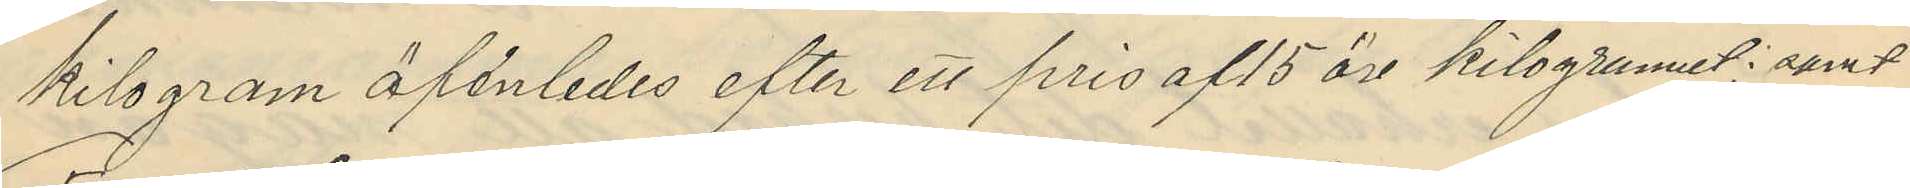kilogram äfenledes efter ett pris af 15 öre kilogrammet; samt
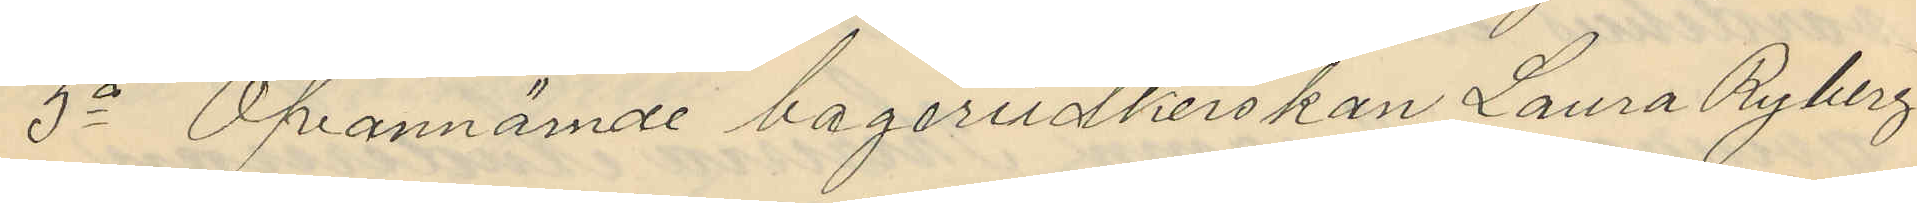5o Ofvannämde bageriidkerskan Laura Ryberg
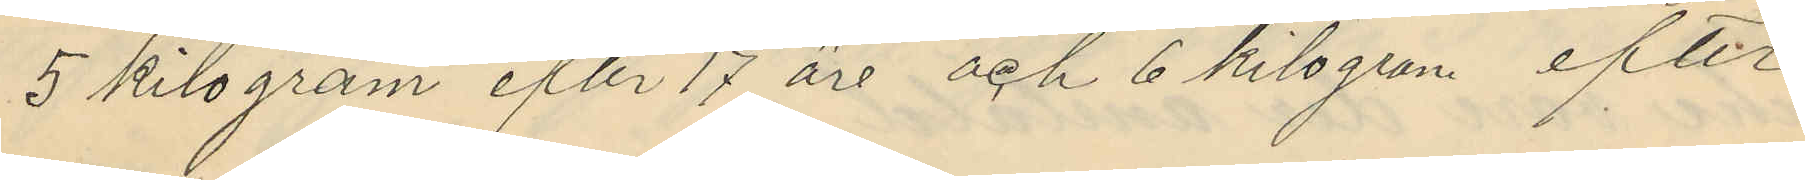5 kilogram efter 17 öre och 6 kilogram efter
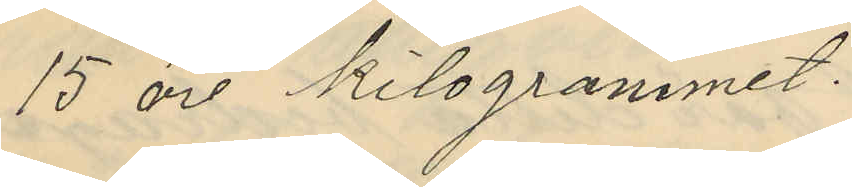15 öre kilogrammet.
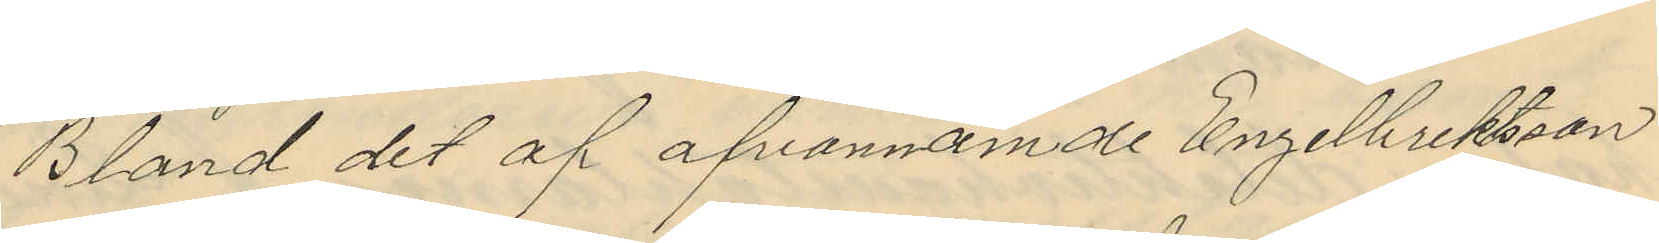Bland det af ofvannämde Engelbrektsson
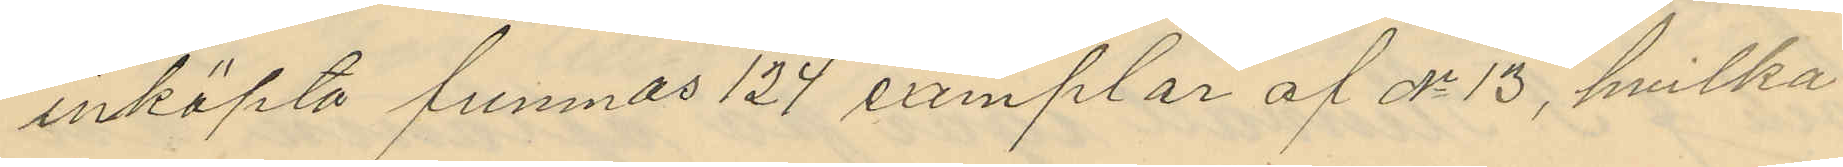inköpta funnas 124 exemplar af No 13, hvilka
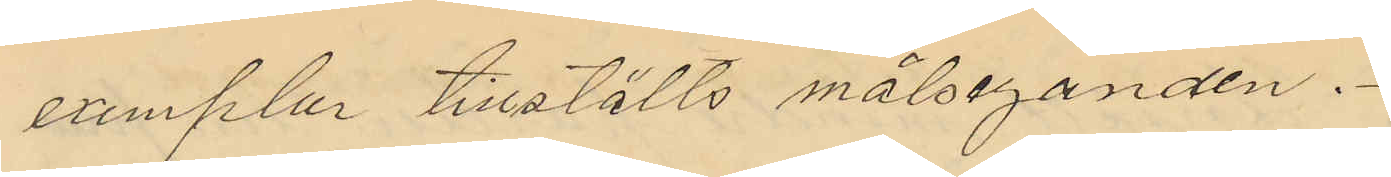exemplar tillstälts målseganden.
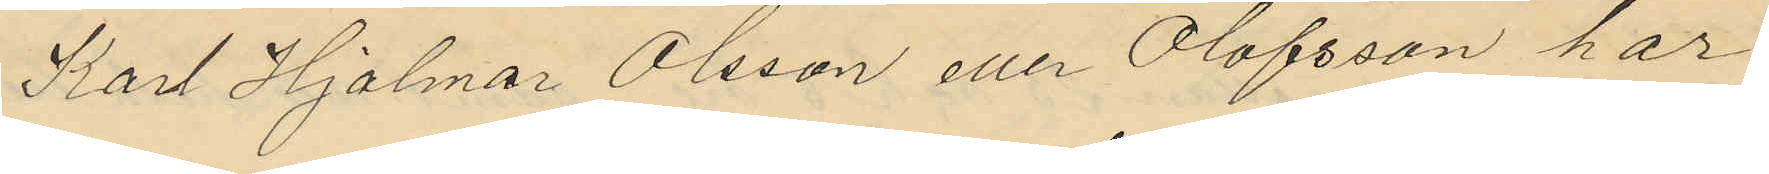Karl Hjalmar Olsson eller Olofsson har
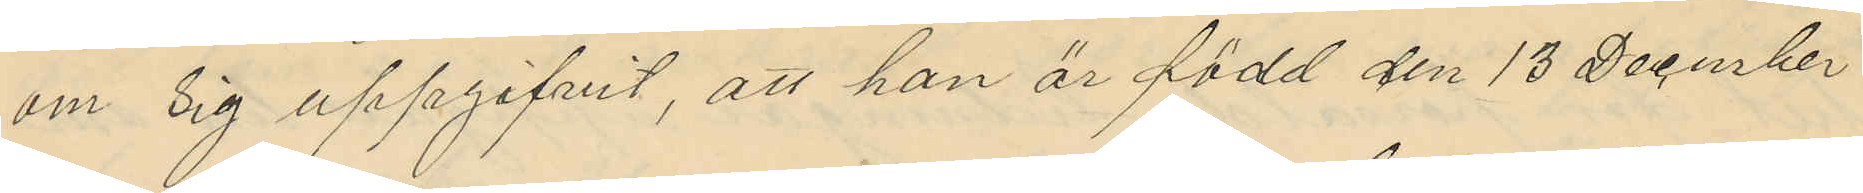om sig uppgifvit, att han är född den 13 December
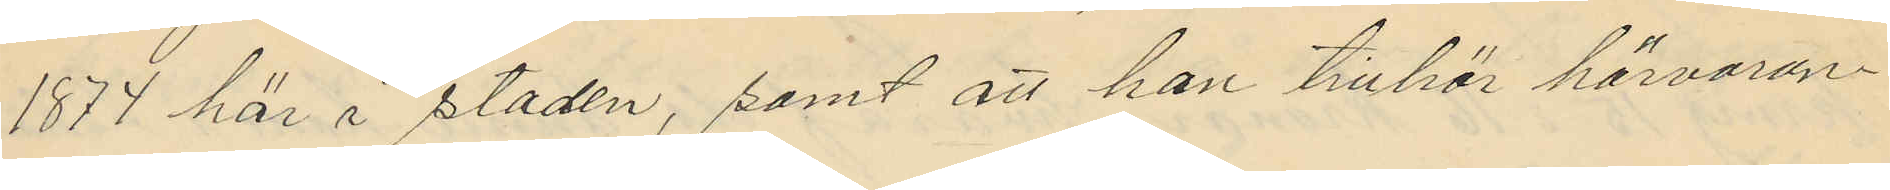1877 här i staden, samt att han tillhör härvaran¬
